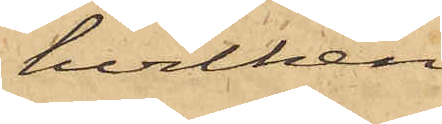hvilken
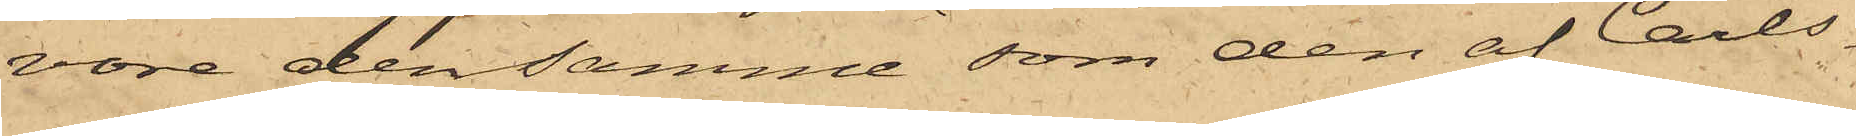vore densamma, som den af Carls¬
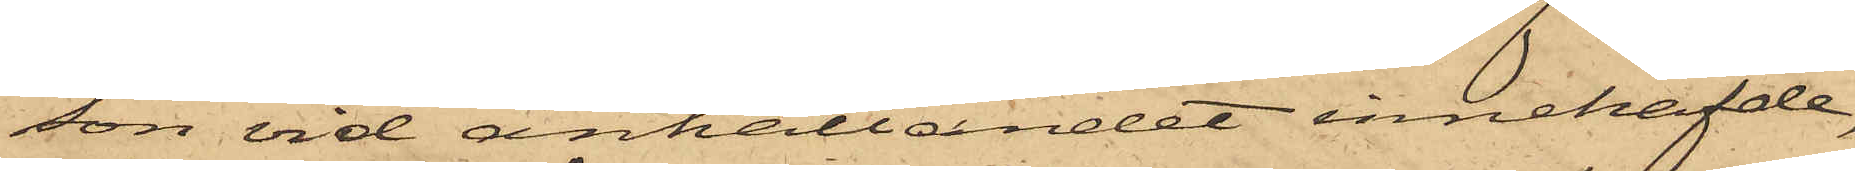son vid anhållandet innehafde,
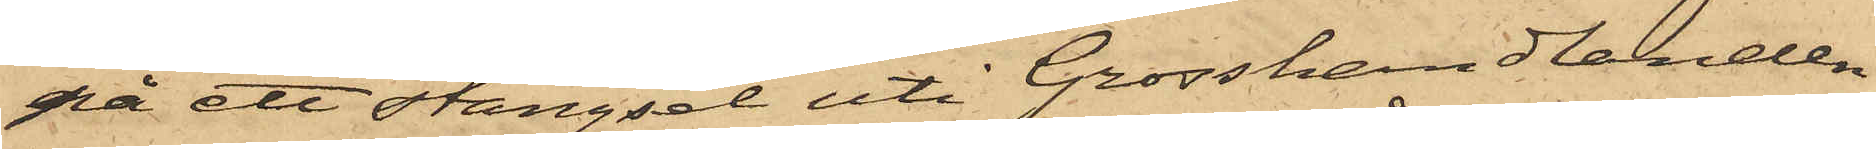på ett stängsel uti Grosshandlanden
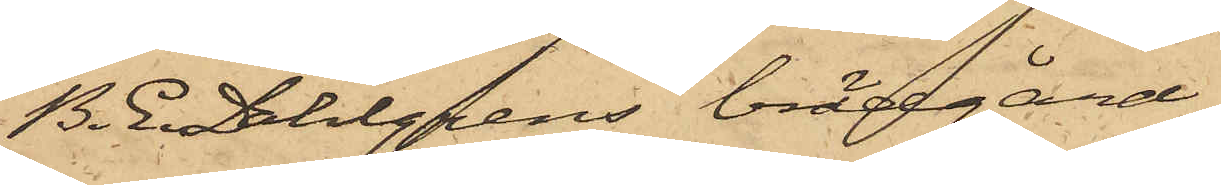B. E. Dahlgrens brädgård
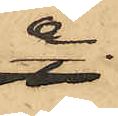å
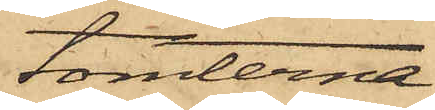tomterna
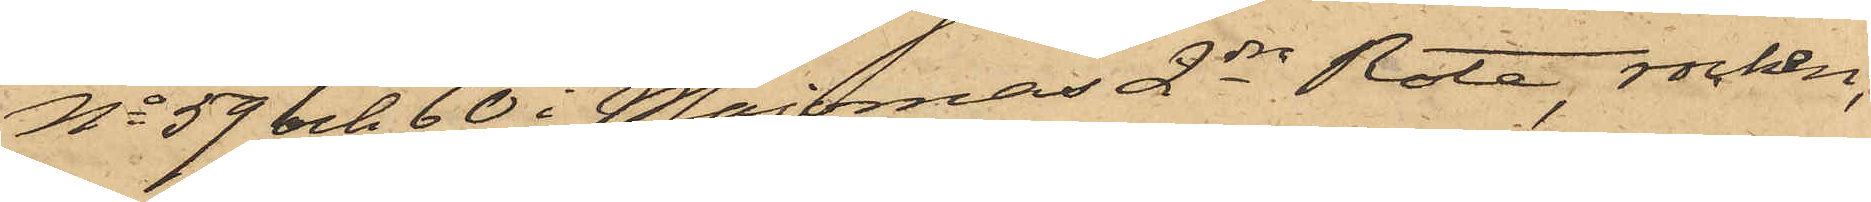No 59 och 60 i Majornas 2dra Rote, rocken,
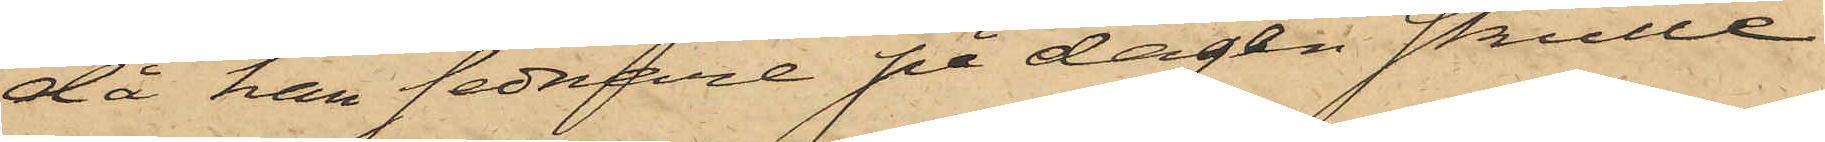då han sednare på dagen skulle
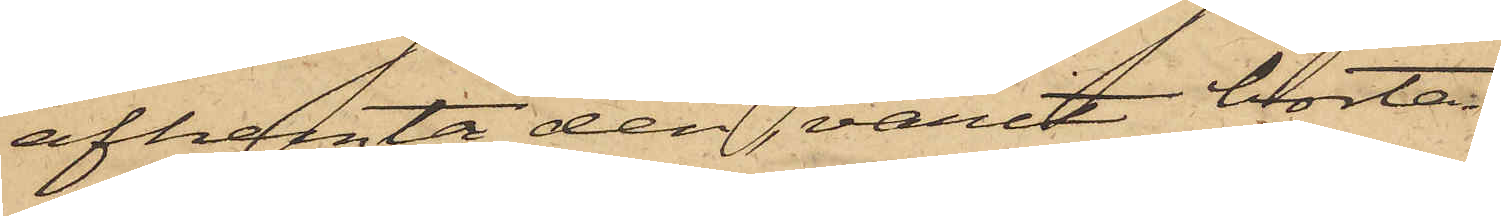afhemta den, varit borta.
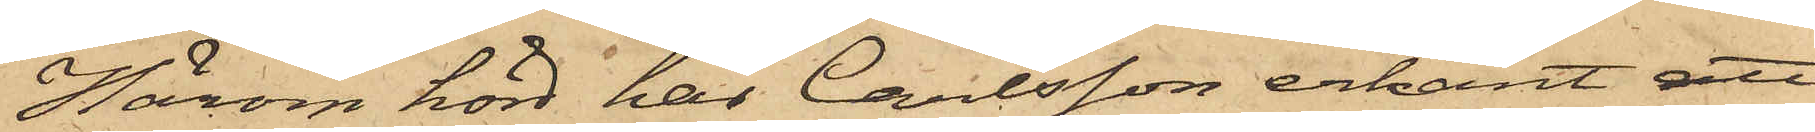Härom hörd har Carlsson erkänt, att
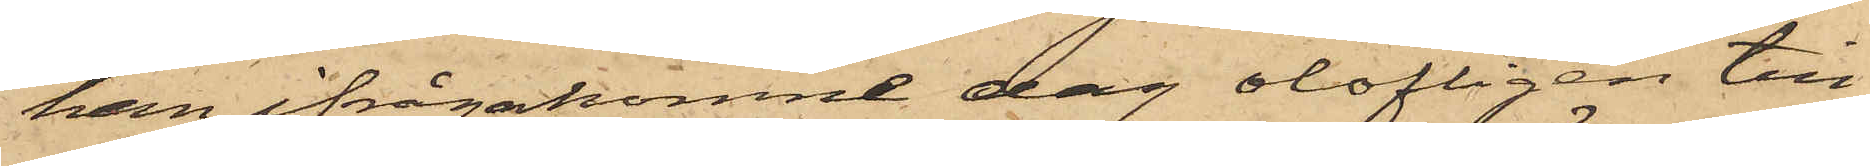han ifrågakomne dag olofligen till¬
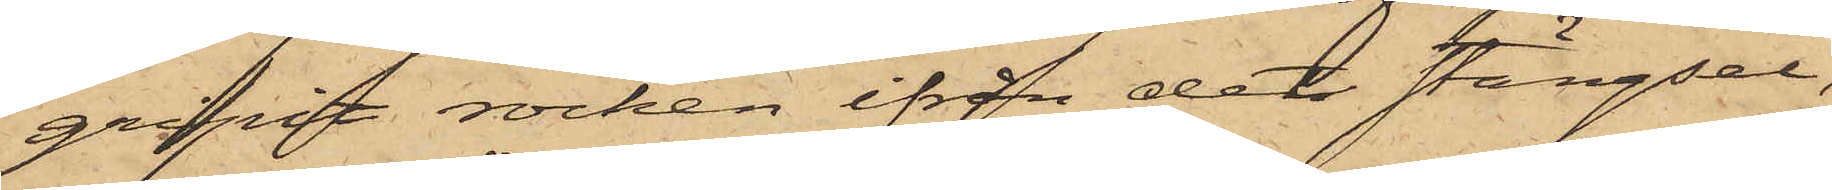gripit rocken ifrån det stängsel,
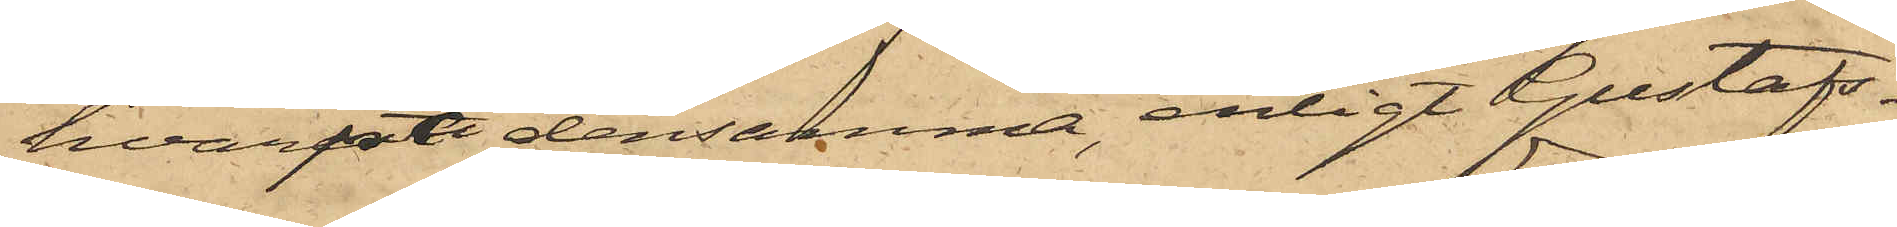hvarpå densamma, enligt Gustafs¬
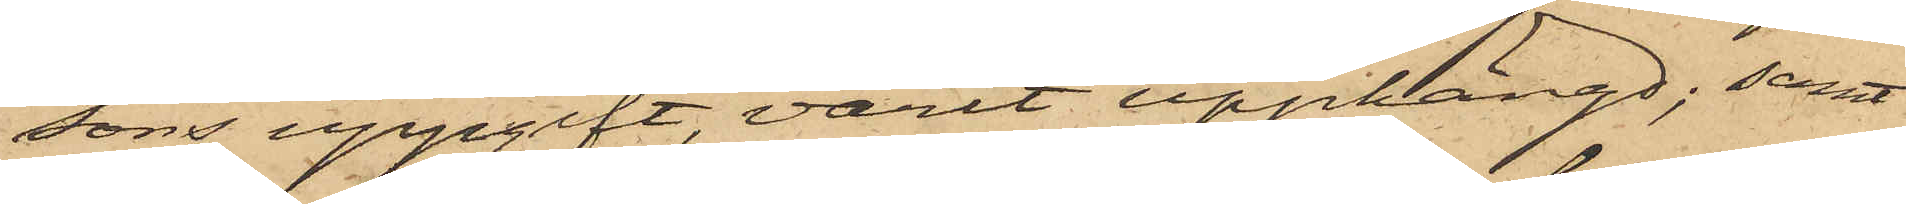sons uppgift, varit upphängd; samt
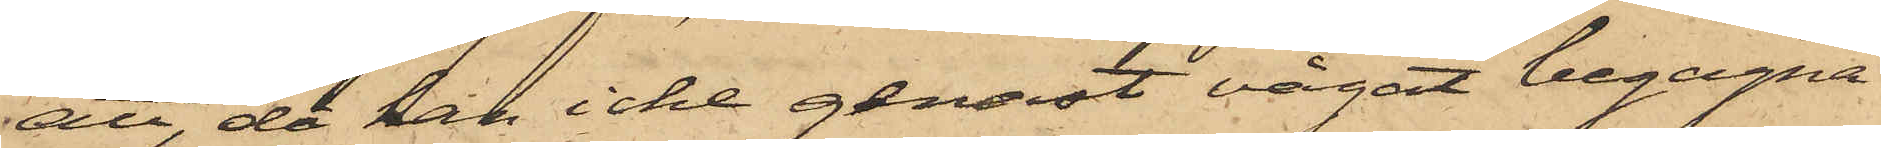att, då han icke genast vågat begagna
